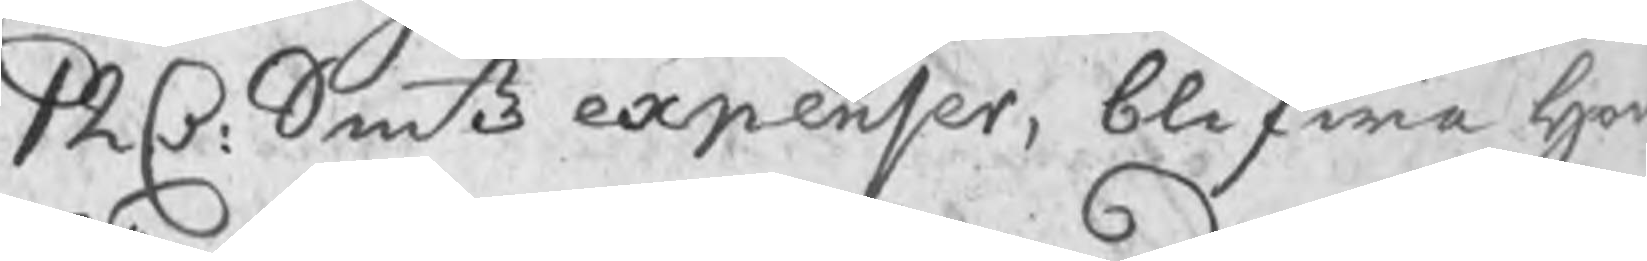12 C: Smtz expenser, blifwa hw
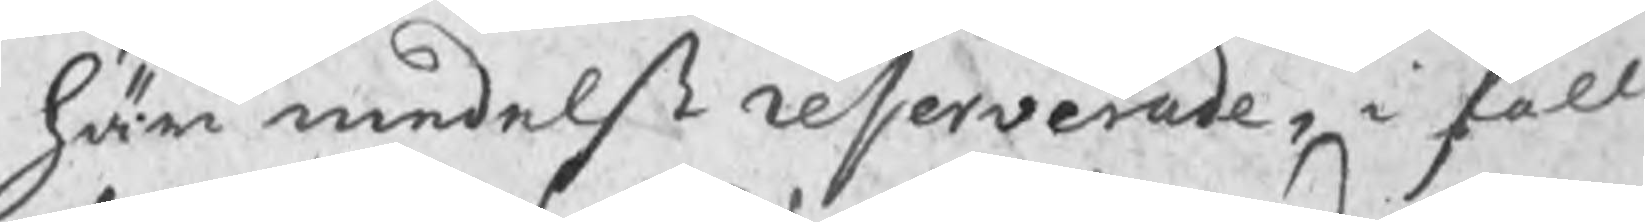här medelst reserverade, i fall
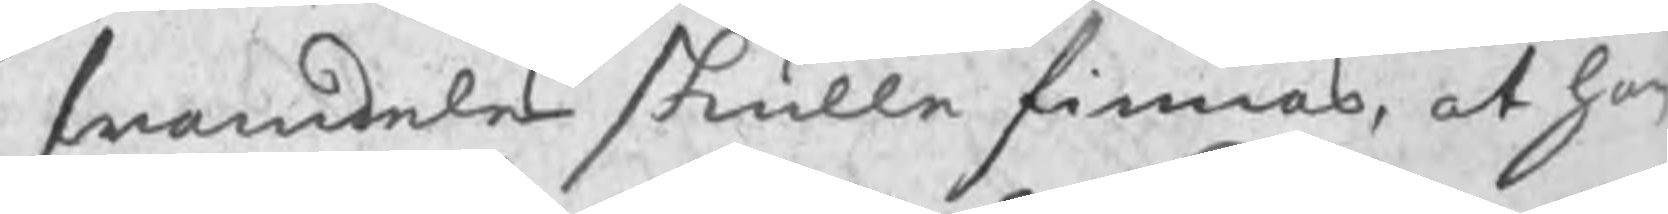swaranden skulle finnas, at han
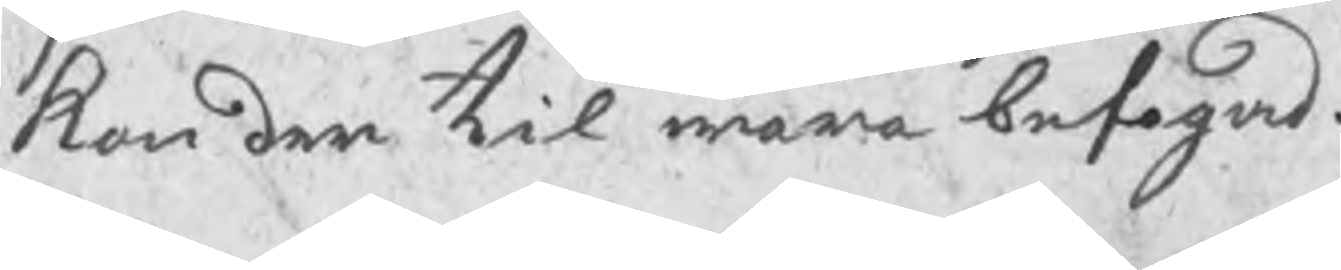kan den til wara befogad.
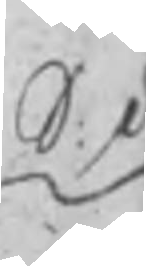S: d
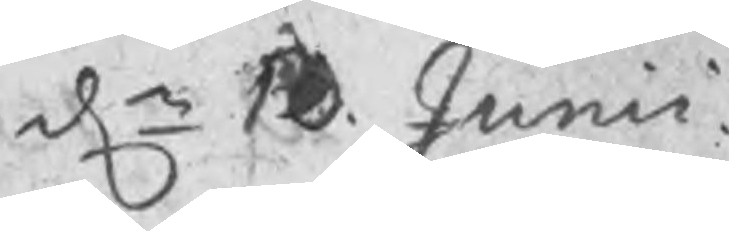dn 10 Junii
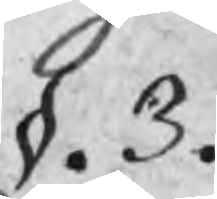§. 3.
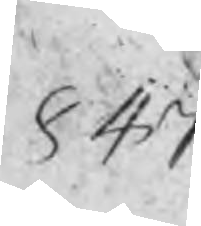847
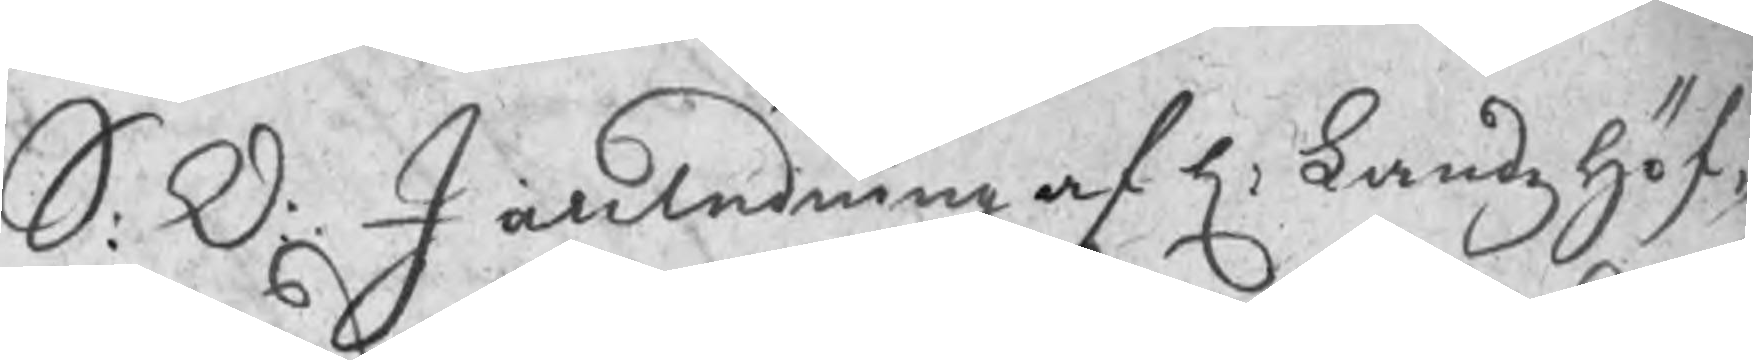S: D: I anledning af H: Landzhöf¬
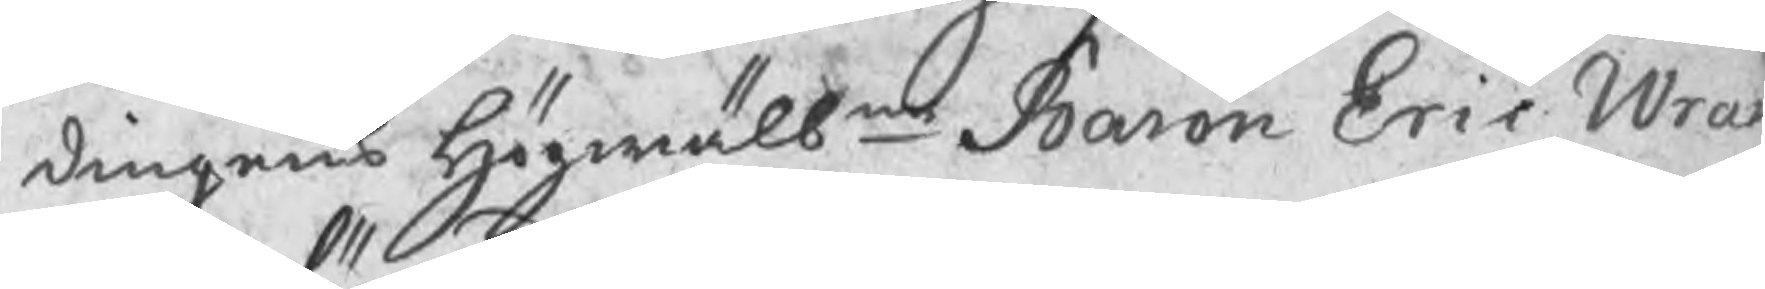dingens Högwälbne Baron Eric Wran¬
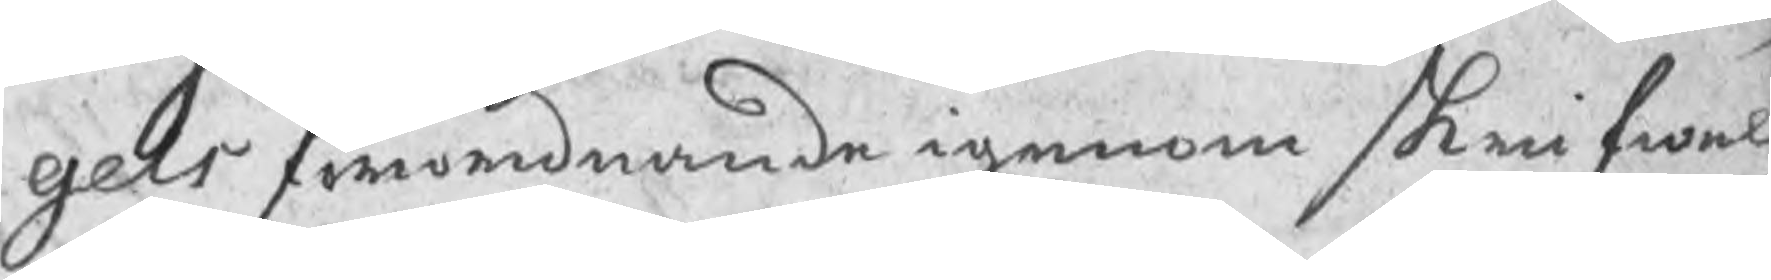gels förordnande igenom skrifwel¬
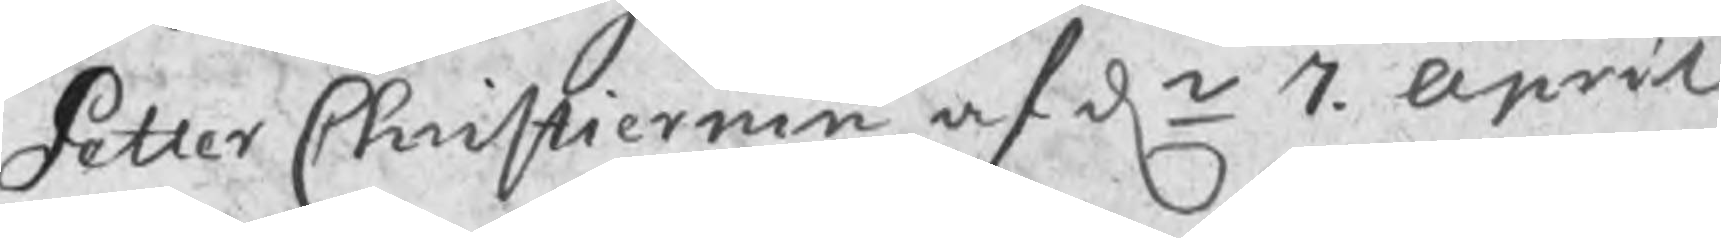Petter Christiernin af dn 7 April
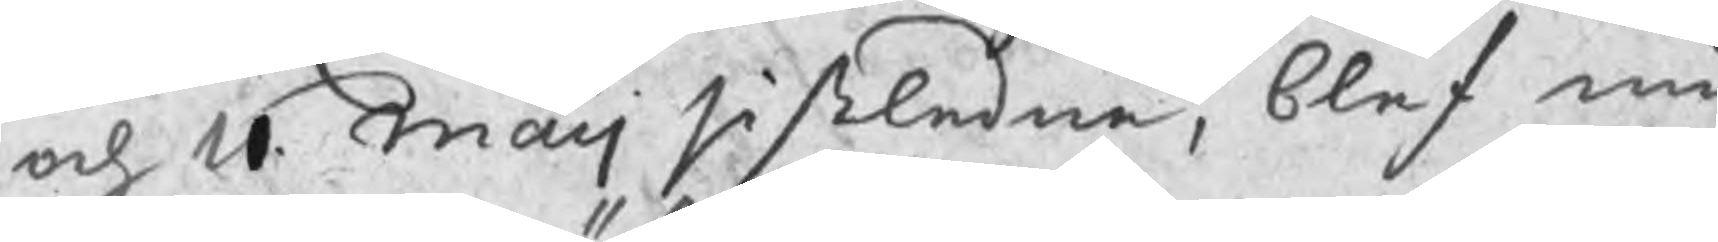och 11 Maij sistledne, blef nu
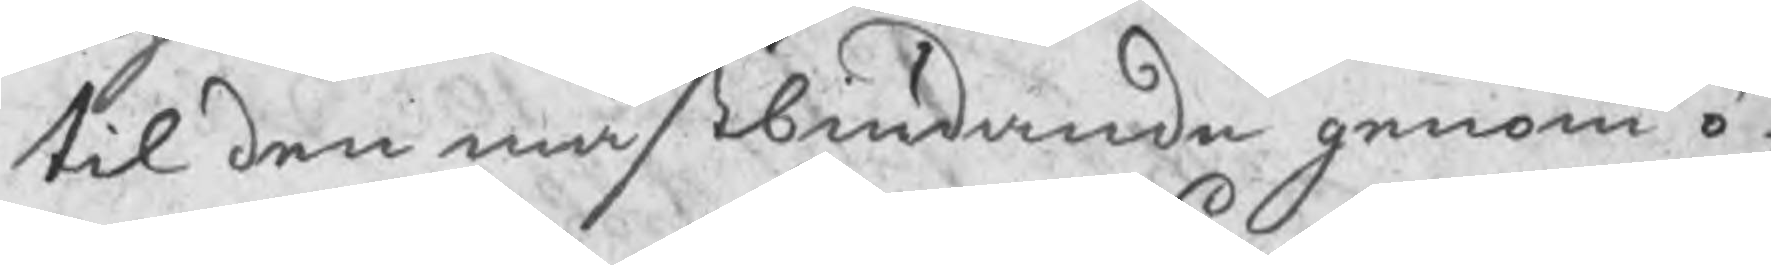til den mästbiudande genom ö¬
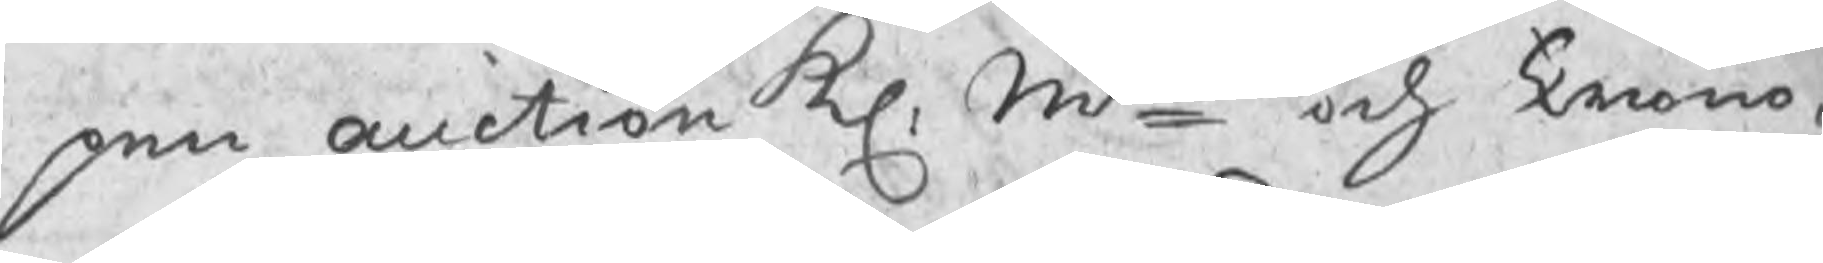pen auction Kl: Mts och Crono¬
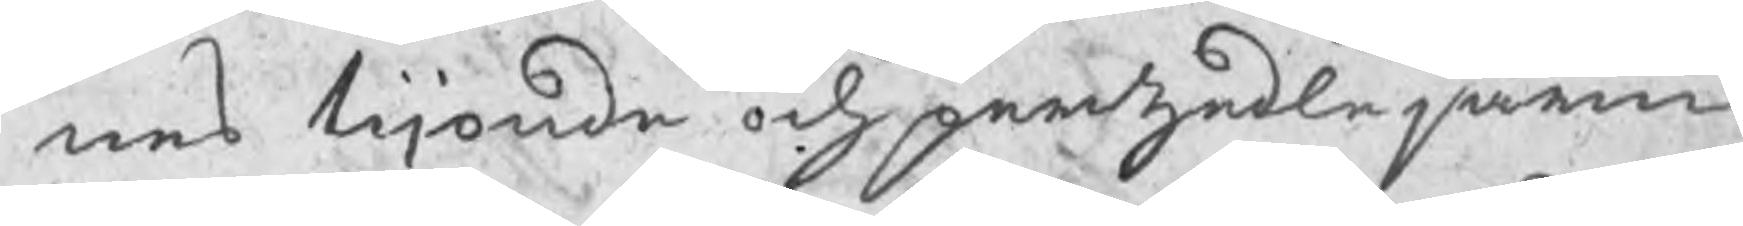nes tijonde och pertzedle järn
